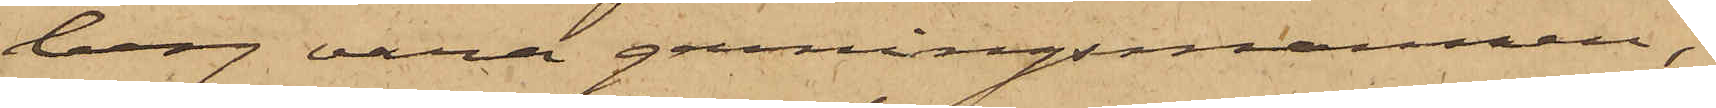berg vara gerningsmannen;
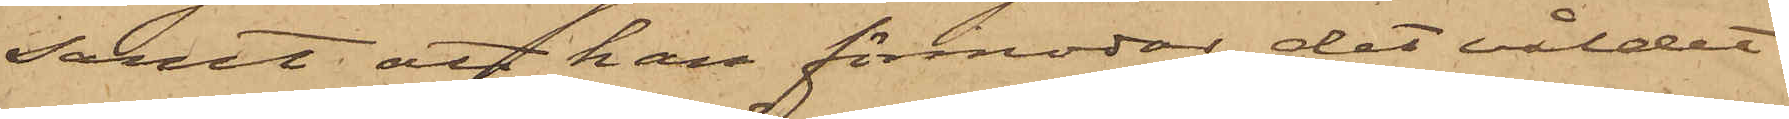samt att han förmodar det våldet
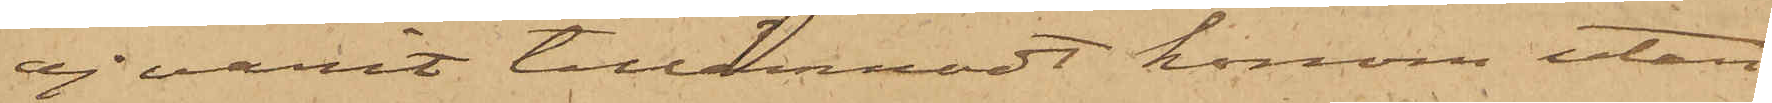ej varit tillämnadt honom utan
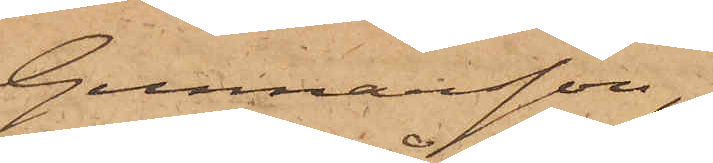Gunnarsson,
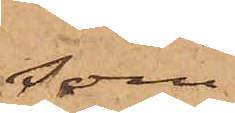som
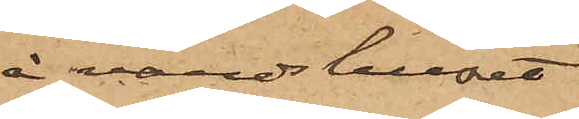å värdshuset
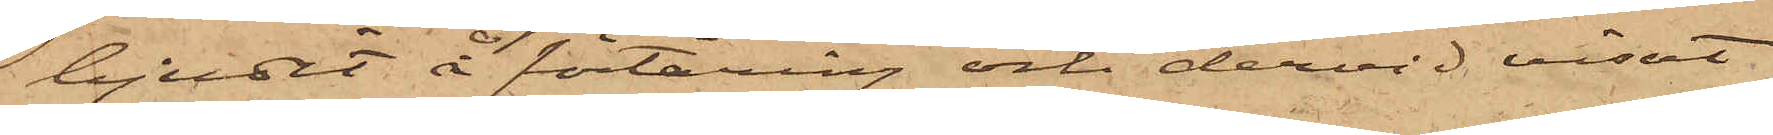bjudit å förtäring och dervid visat
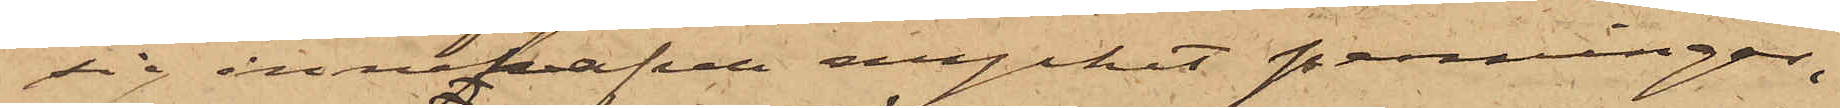sig innehafva mycket penningar,
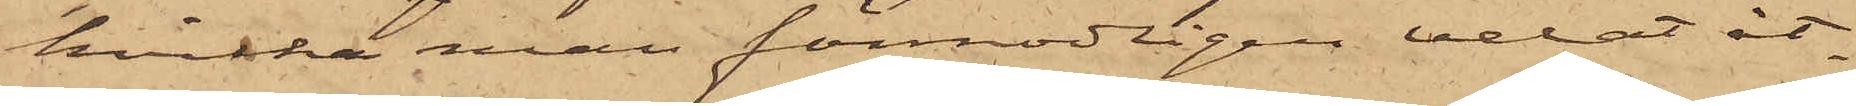hvilka man förmodligen velat åt¬
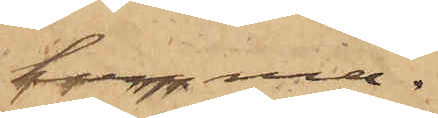komma.
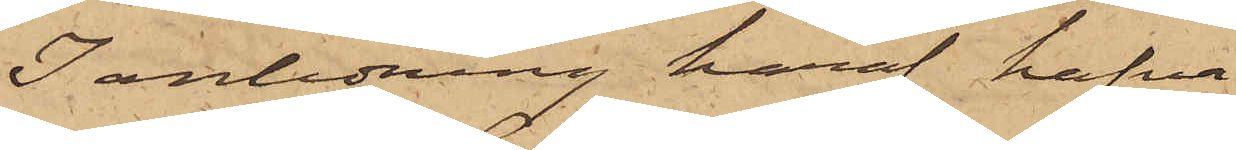I anledning häraf hafva
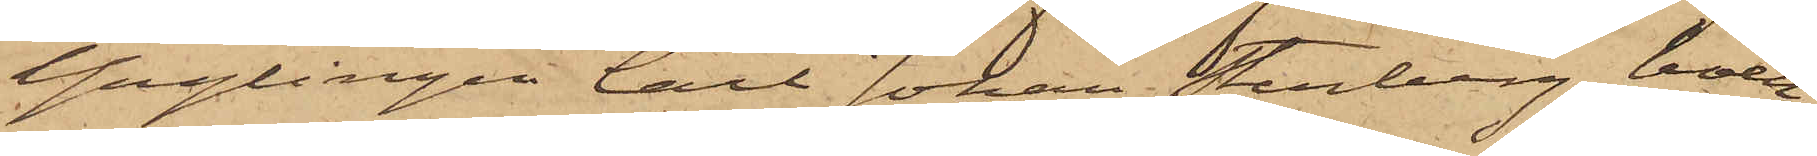Ynglingen Carl Johan Stenberg, boen¬
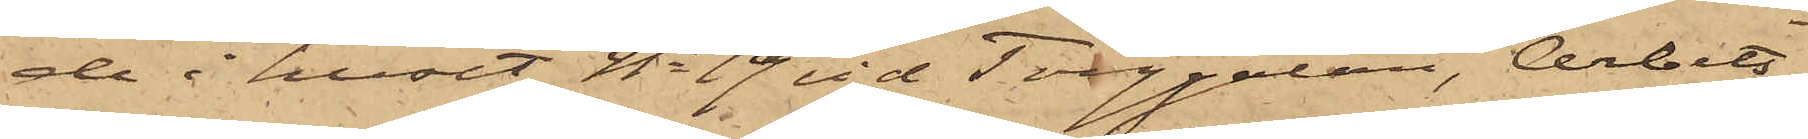de i huset No 19 vid Torggatan, Arbets¬
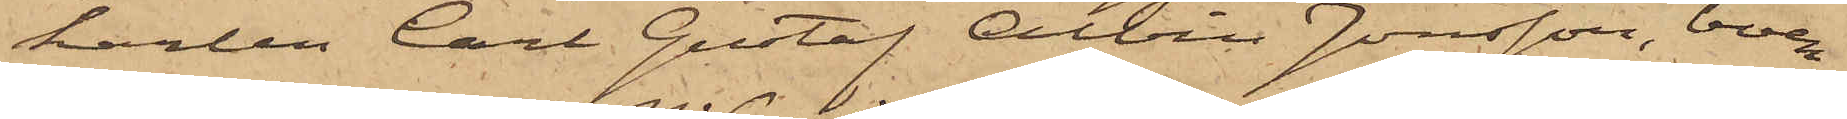karlen Carl Gustaf Albin Jonsson, boen¬
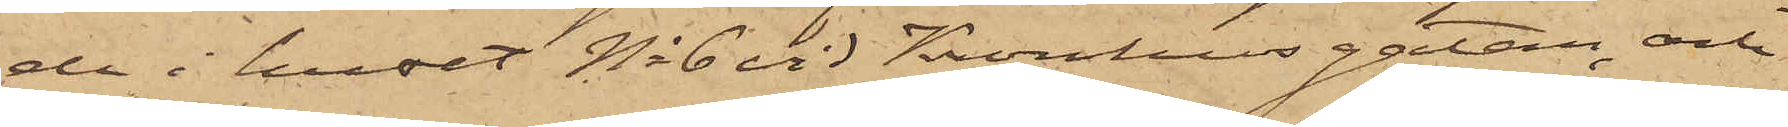de i huset No 6 vid Kronhusgatan och
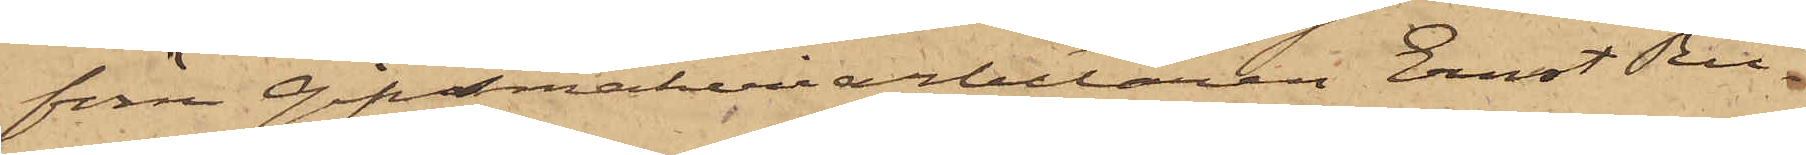förre Gipdmakeriarbetaren Ernst Ru¬
